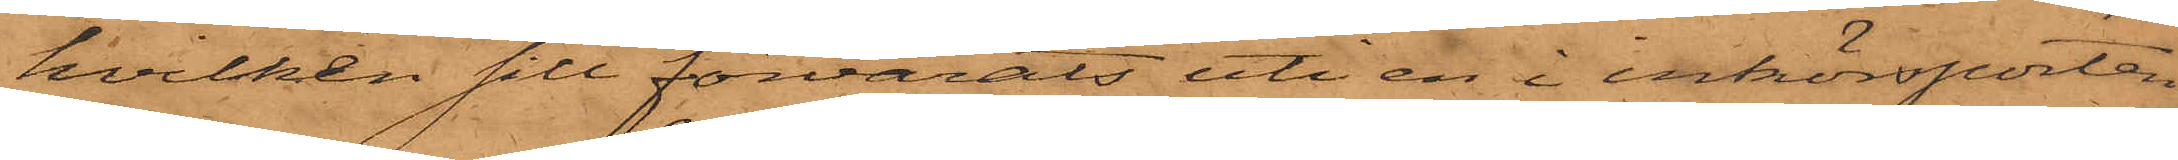hvilken sill förvarats uti en i inkörsporten
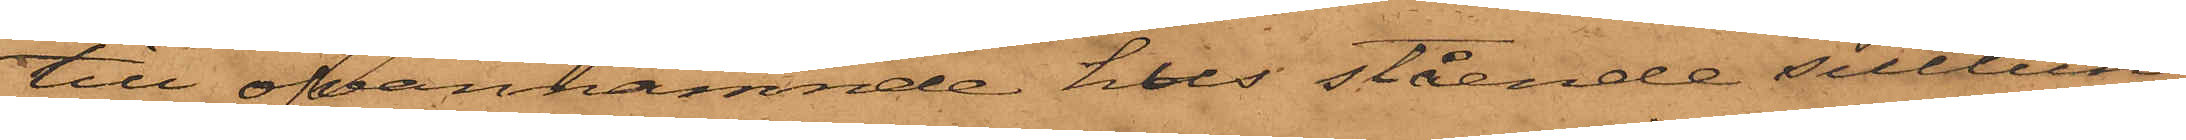till ofvannämnde hus stående silltun¬
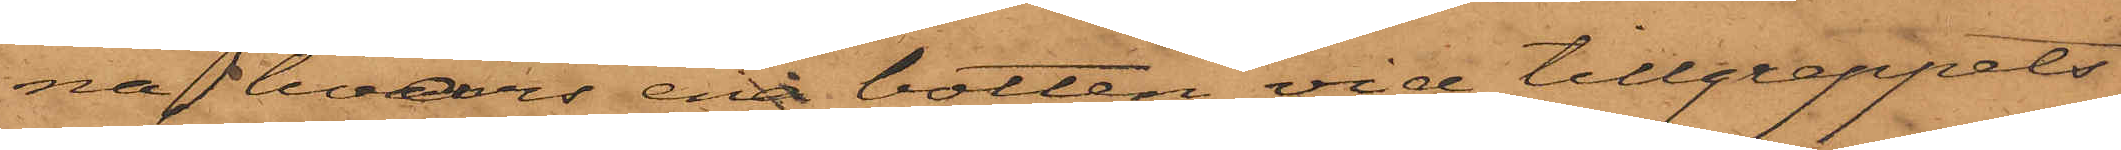na, hvars ena botten vid tillgreppets
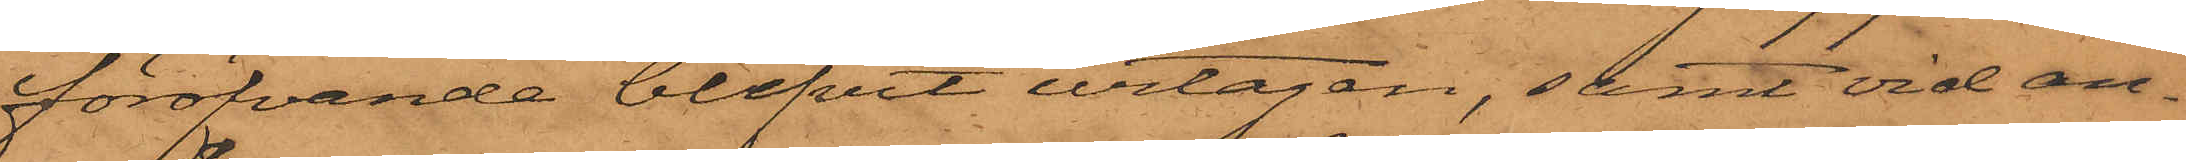föröfvande blifvit urtagen, samt vid an¬
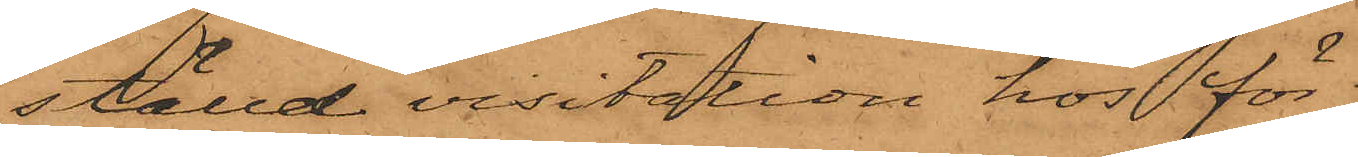ställd visitation hos för
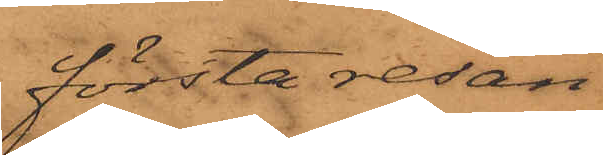första resan
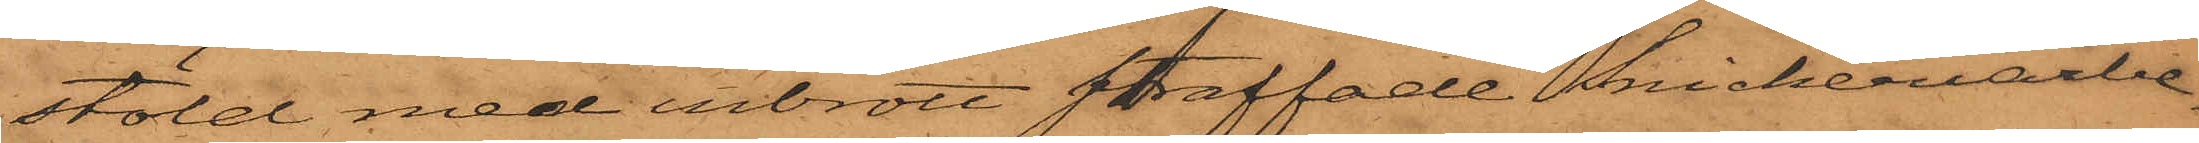stöld med inbrott straffade Snickeriarbe¬
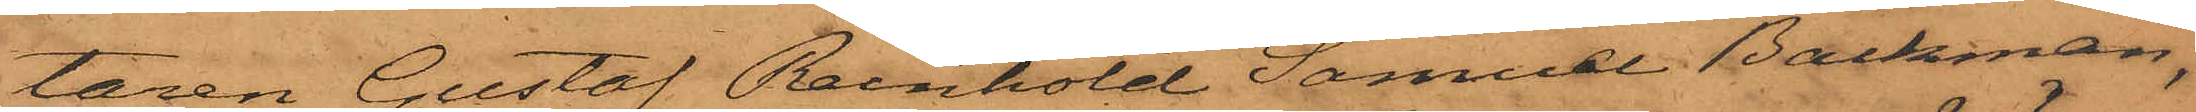taren Gustaf Reinhold Samuel Backman,
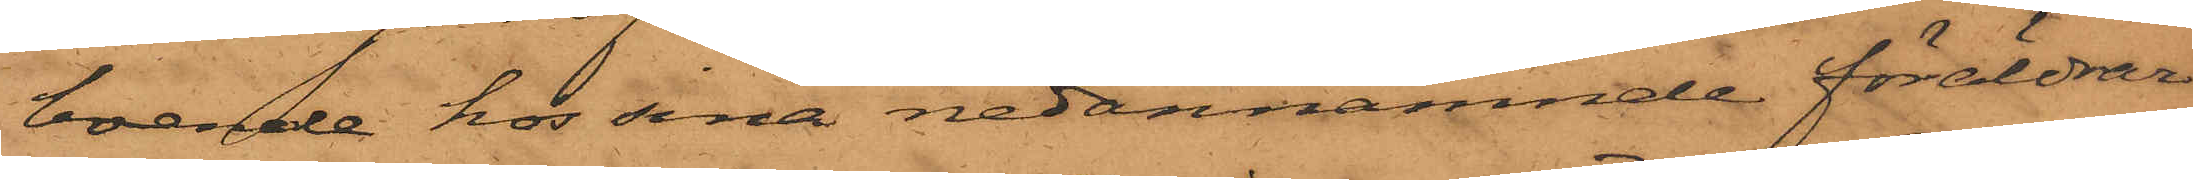boende hos sina nedannämnde föräldrar
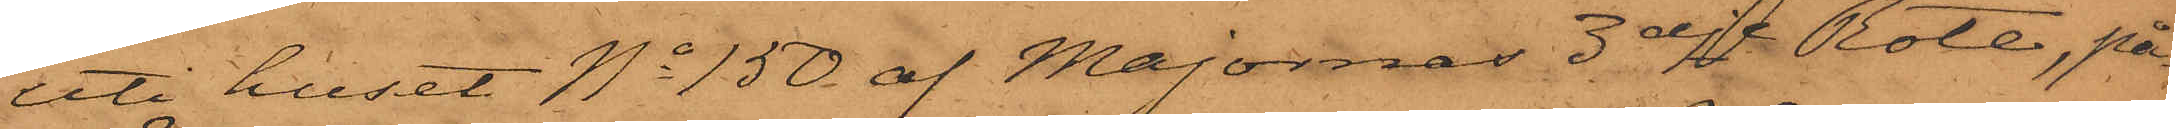uti huset No 150 af Majornas 3dje Rote, på¬
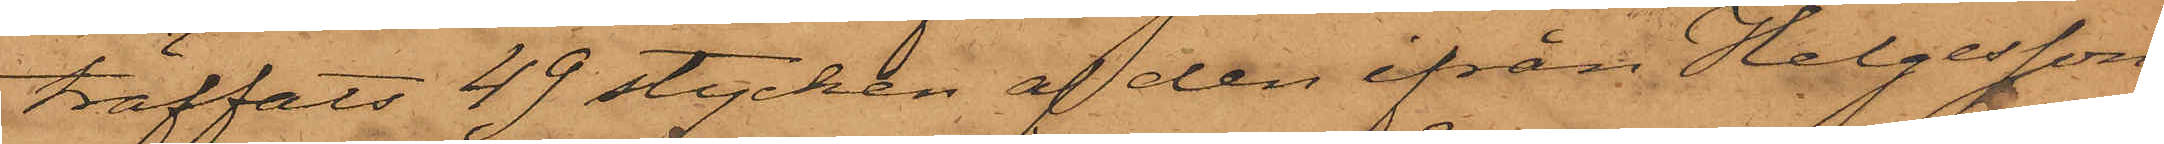träffats 49 stycken af den ifrån Helgesson
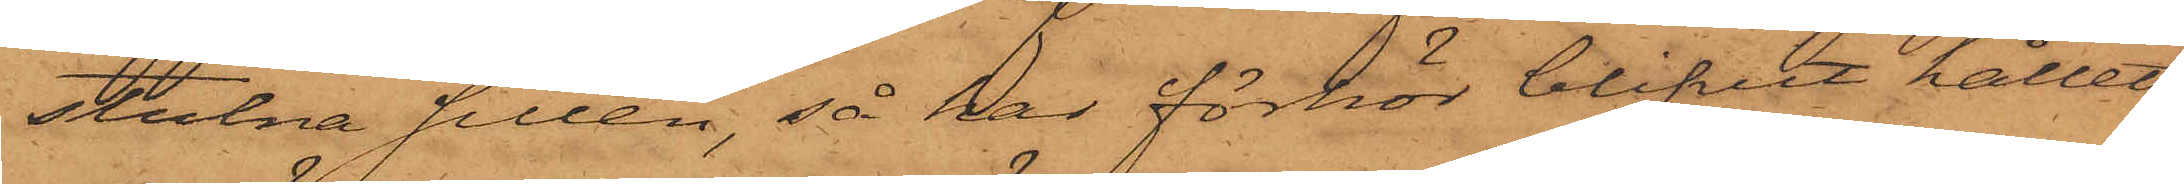stulna sillen, så har förhör blifvit hållet
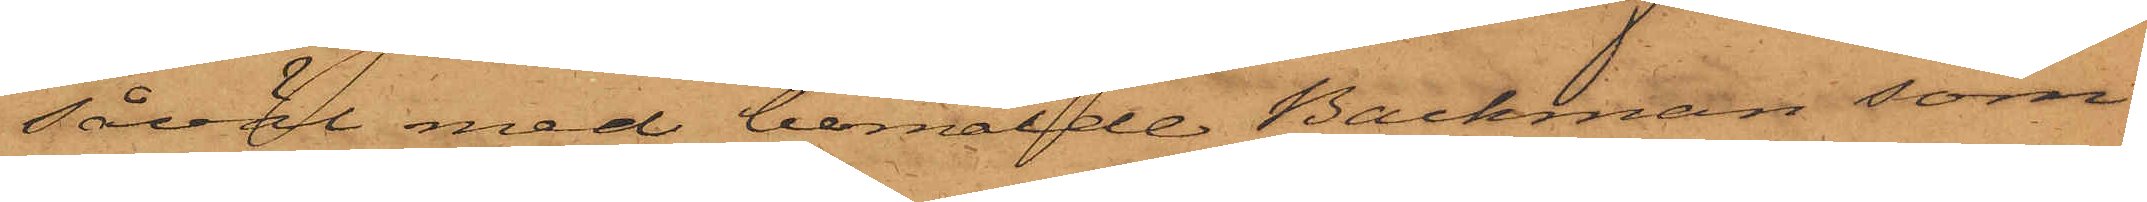såväl med bemälde Backman som
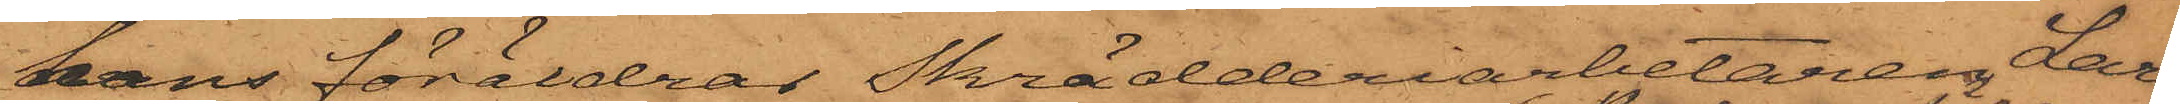hans föräldrar Skrädderiarbetaren Lars
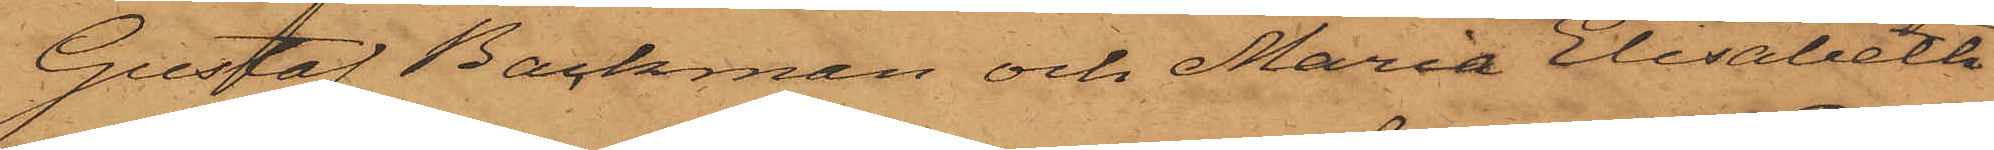Gustaf Backman och Maria Elisabeth
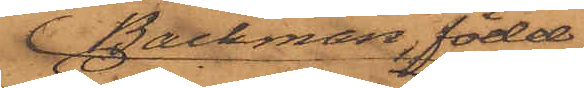Backman, född
